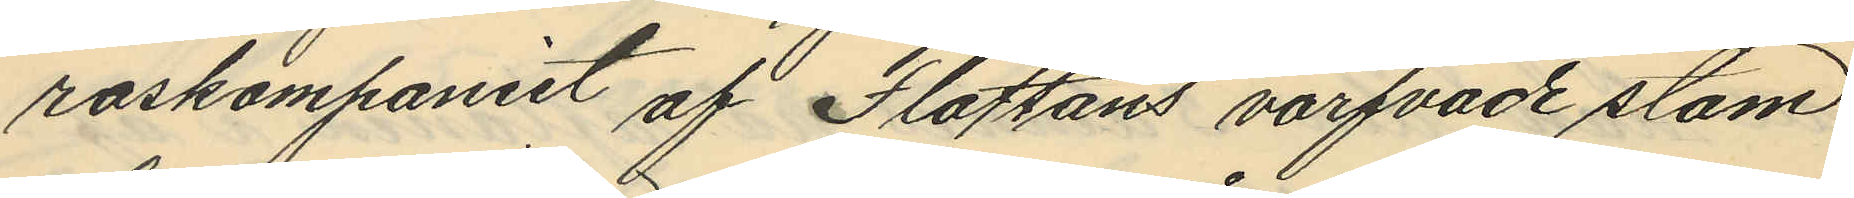roskompaniet af Flottans värfvade stam
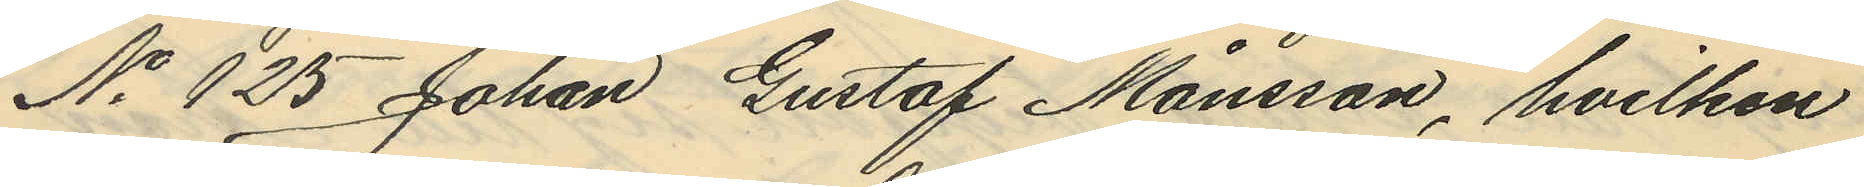No 125 Johan Gustaf Månsson, hvilken
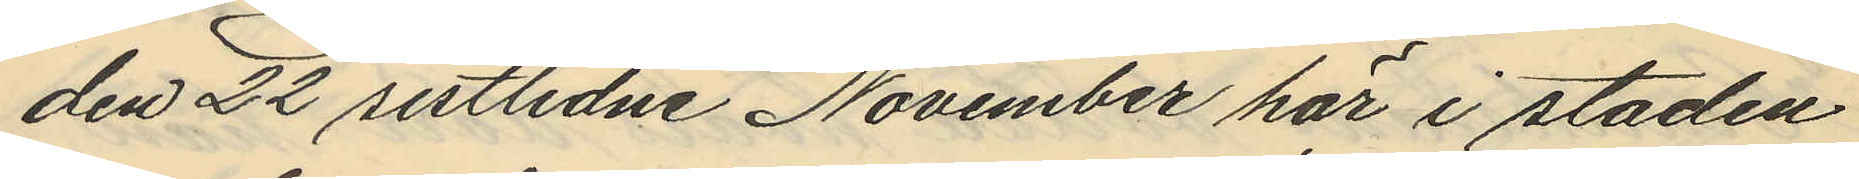den 22 sistlidne November här i staden
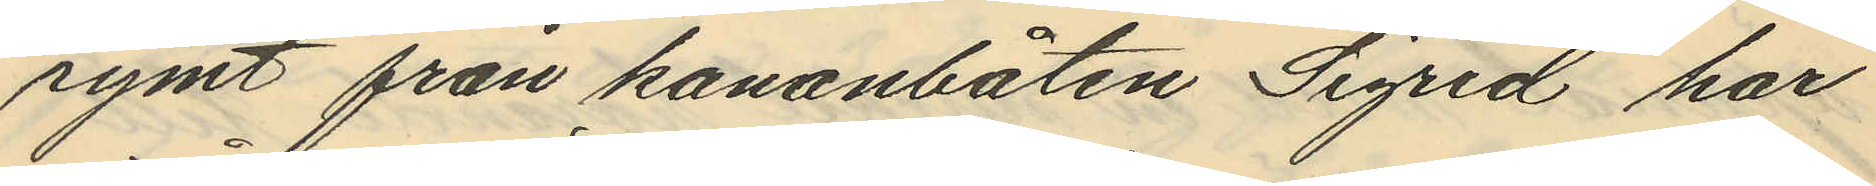rymt från kanonbåten "Sigrid" har
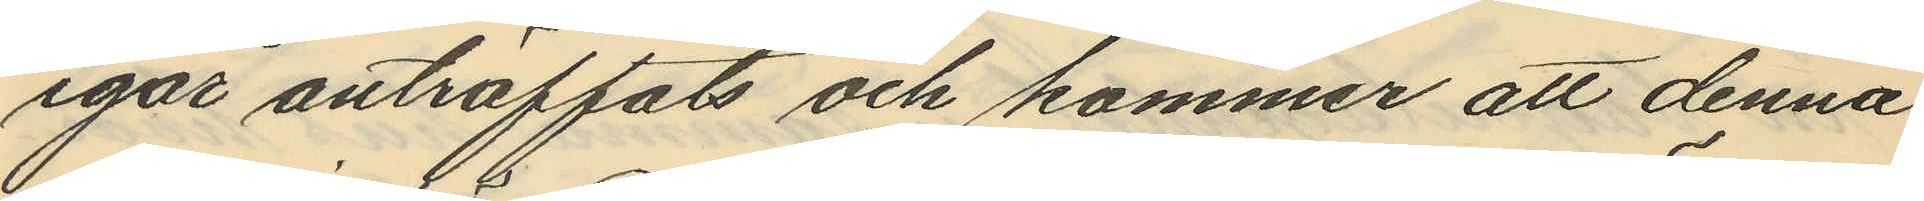igår anträffats och kommer att denna
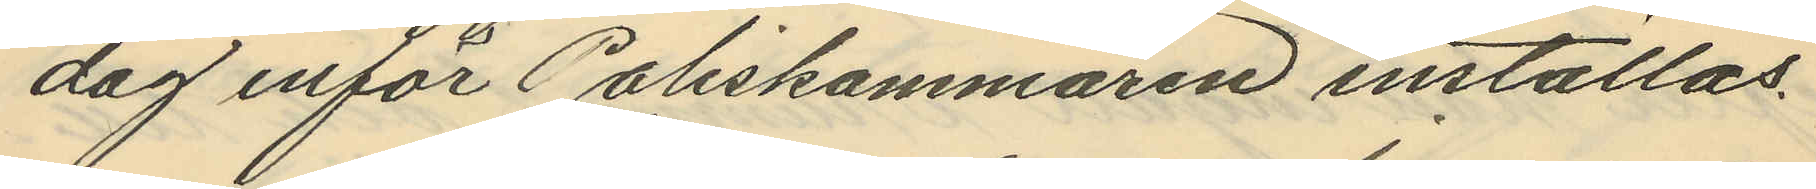dag inför Poliskammaren inställas.
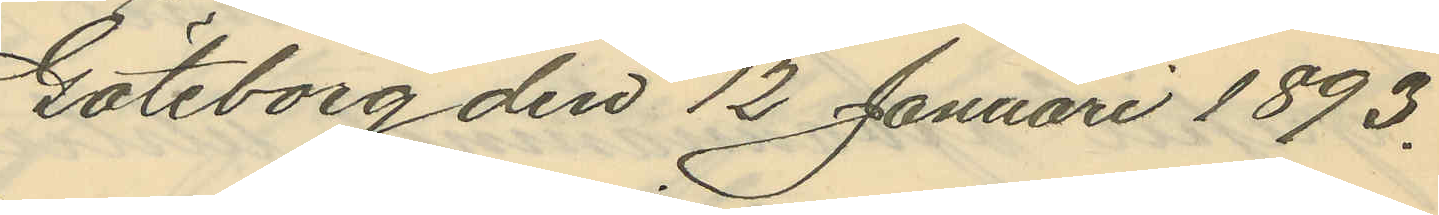Göteborg den 12 Januari 1893.
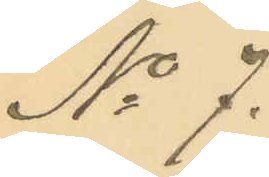No 7.
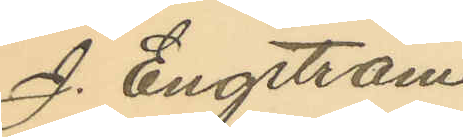J. Engström
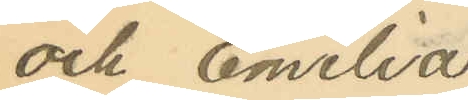och Emelia
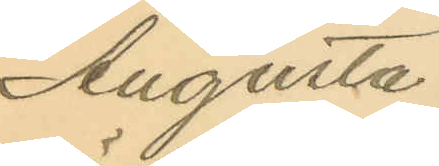Augusta
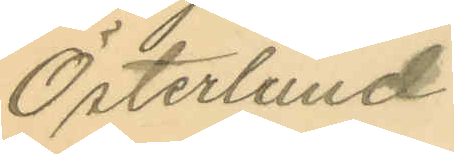Österlund.
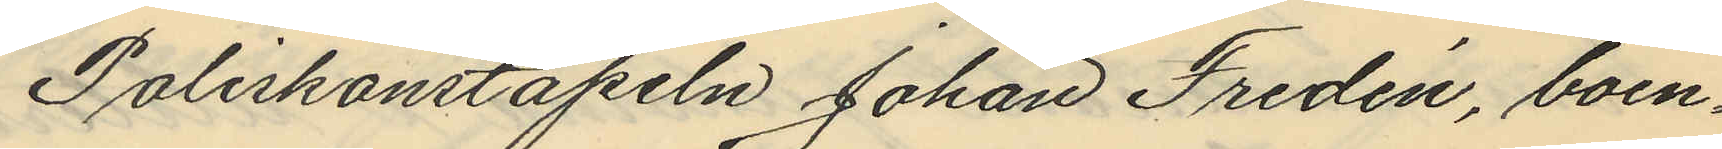Poliskonstapeln Johan Fredén, boen¬
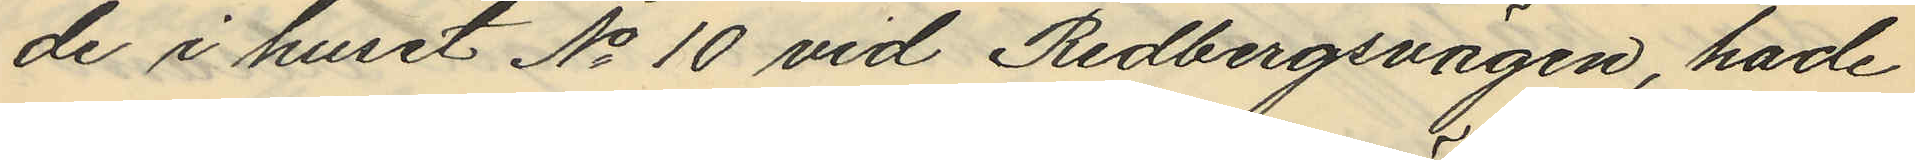de i huset No 10 vid Redbergsvägen, hade
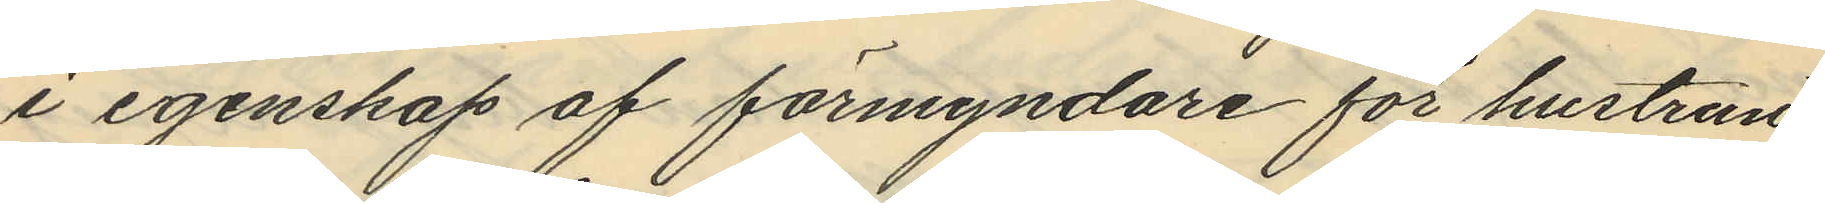i egenskap af förmyndare för hustrun
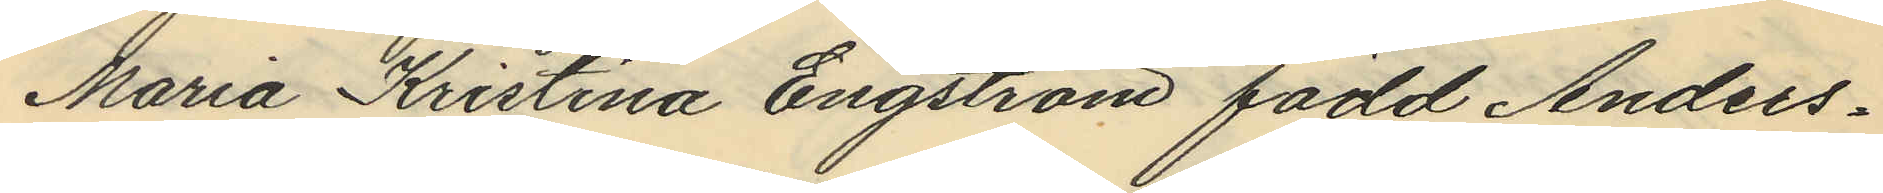Maria Kristina Engström född Anders¬
